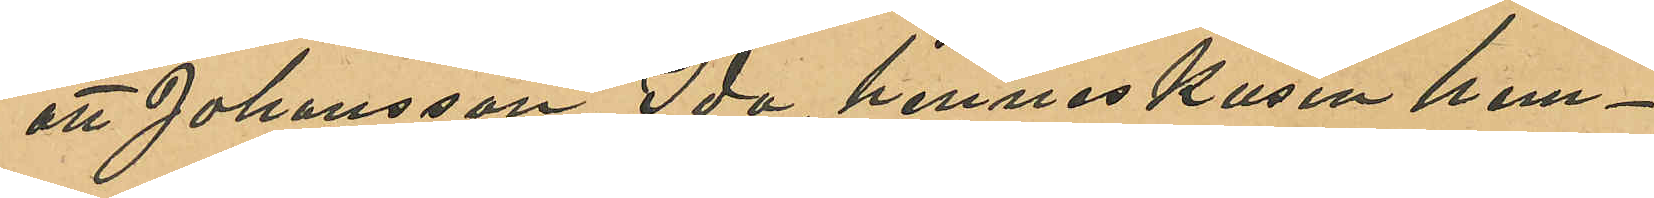att Johansson Ida hennes kusin hem¬
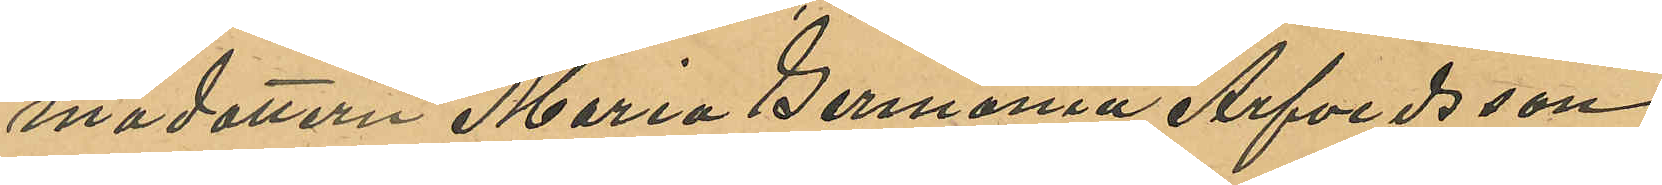madottern Maria Germania Arfvedsson
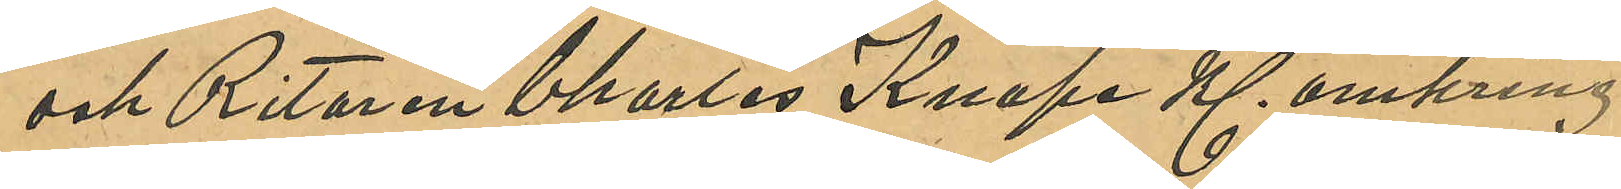och Ritaren Charles Knape Kl. omkring
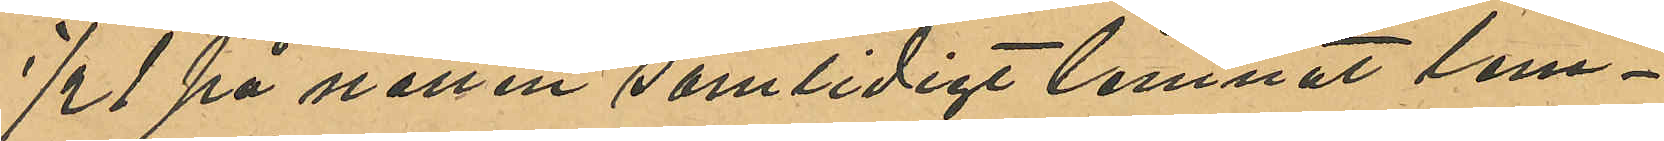½ 1 på natten samtidigt lemnat lem¬
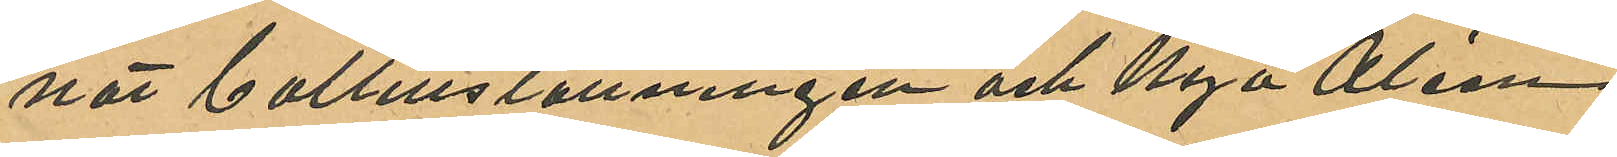nat baltillställningen och Nya Aléen
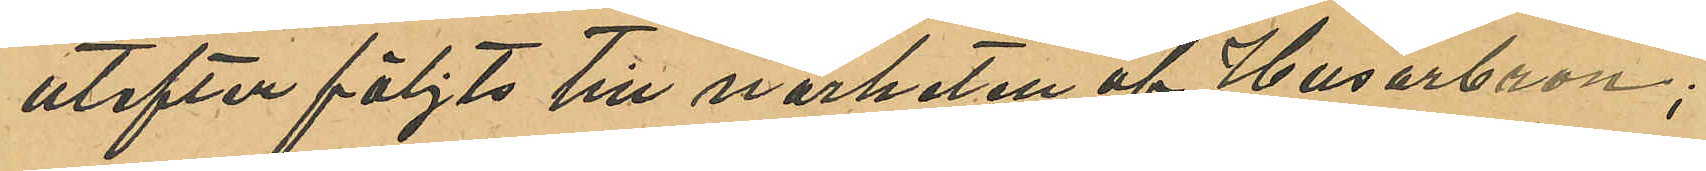utefter följts till närheten af Husarbron;
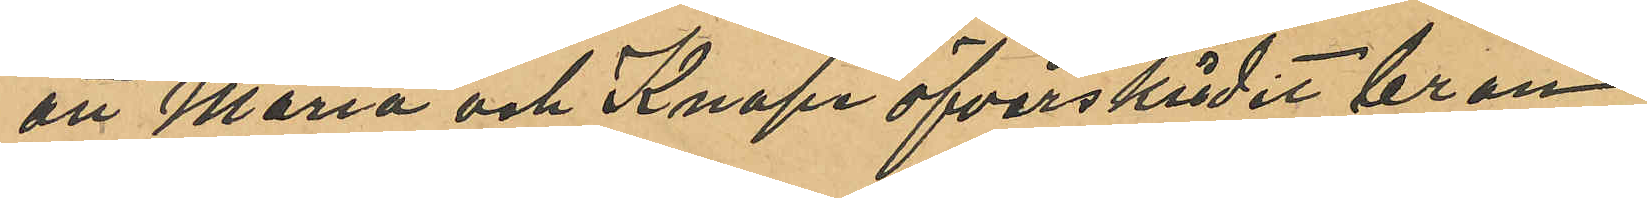att Maria och Knapa öfverskridit bron
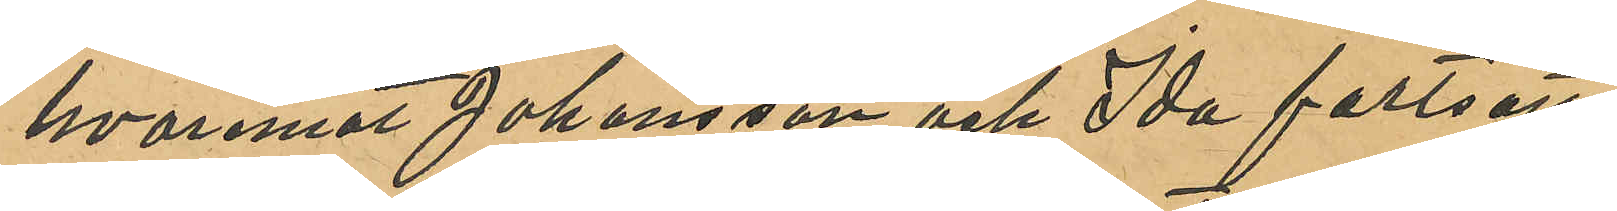hvaremot Johansson och Ida fortsatt
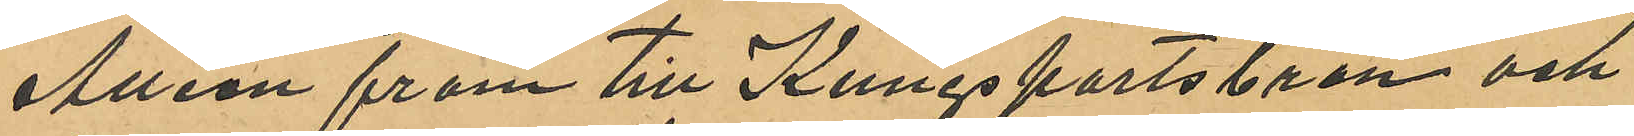Allén fram till Kungsportsbron och
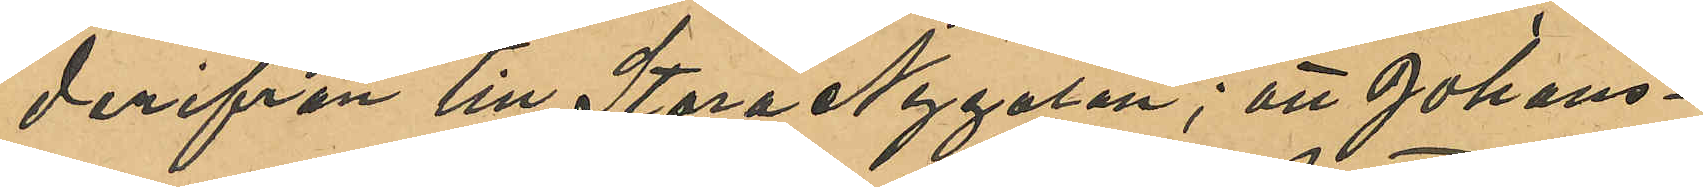derifrån till Stora Nygatan; att Johans¬
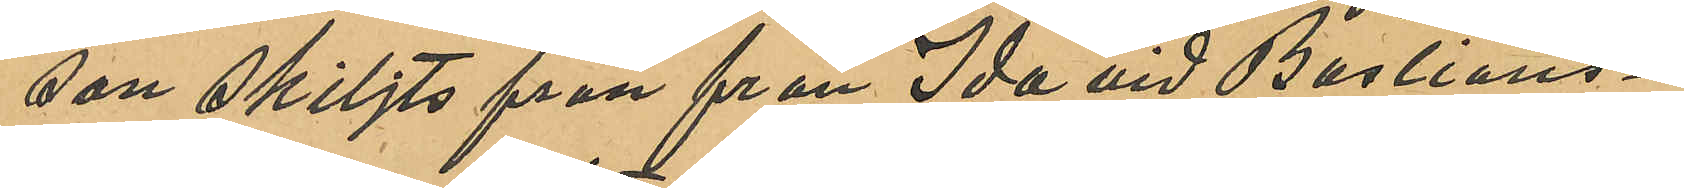son skiljts från från Ida vid Bastions¬
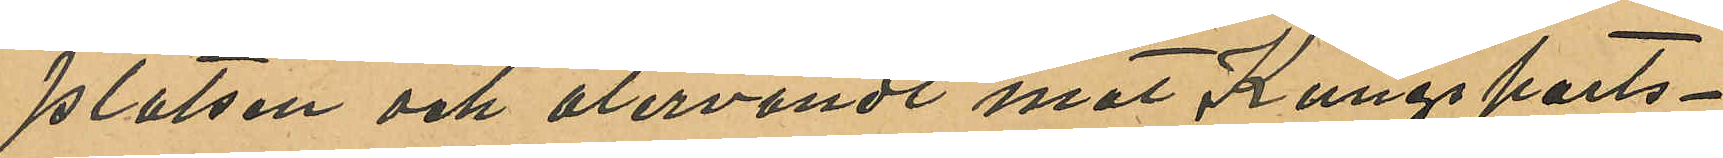platsen och återvändt mot Kungsports¬
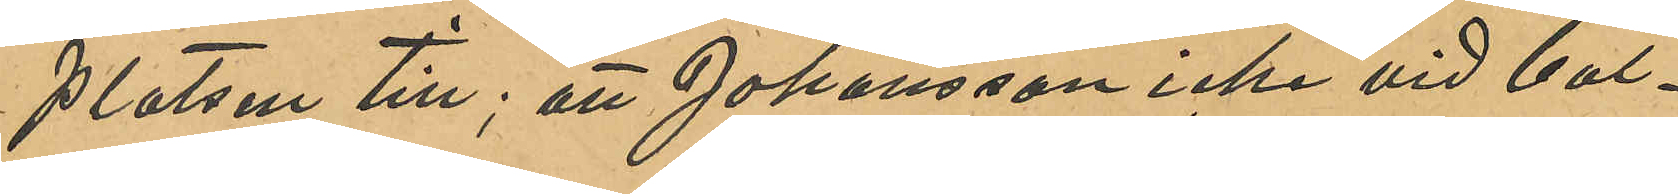platsen till; att Johansson icke vid bal¬
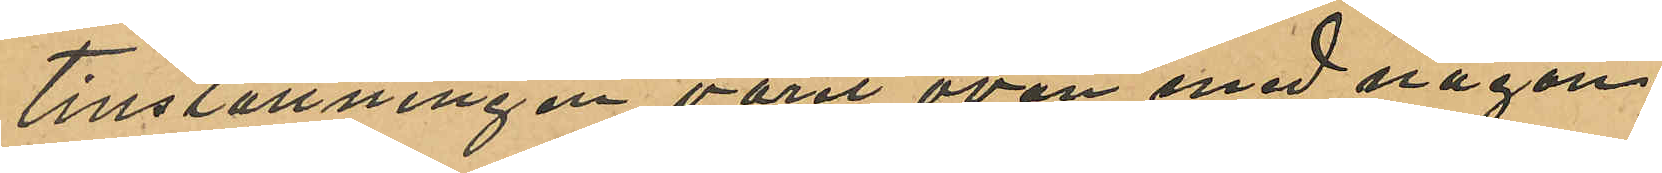tillställningen varit ovän med någon
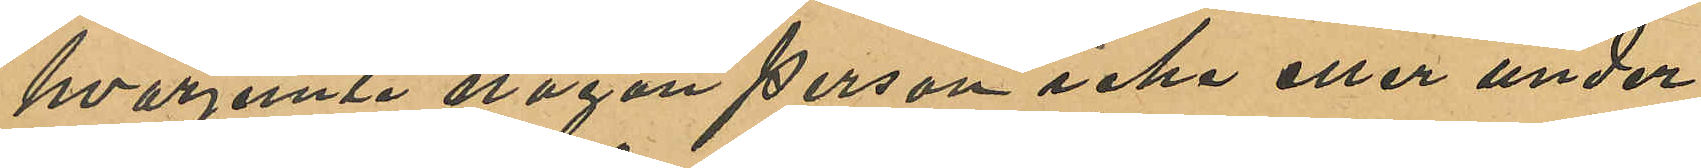hvarjemte någon person icke eller under
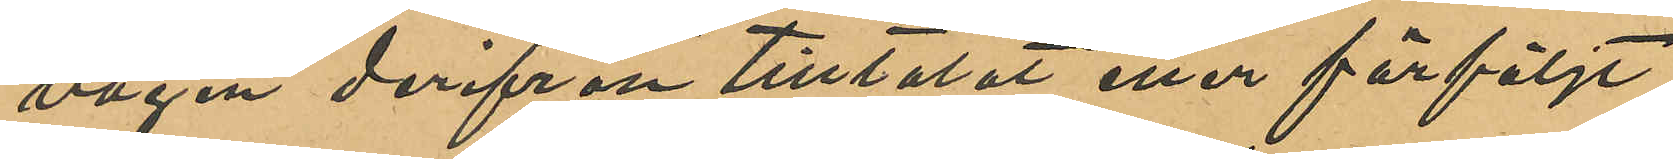vägen derifrån tilltalat eller förföljt
